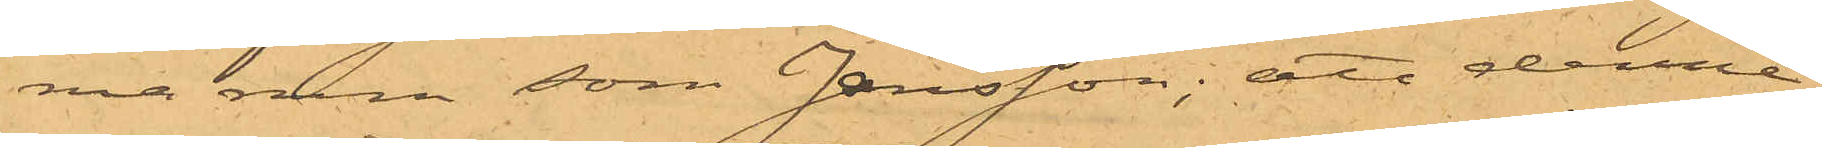ma rum som Jansson; att denne,
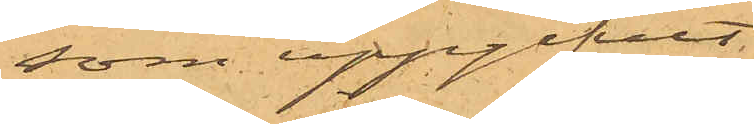som uppgifvit
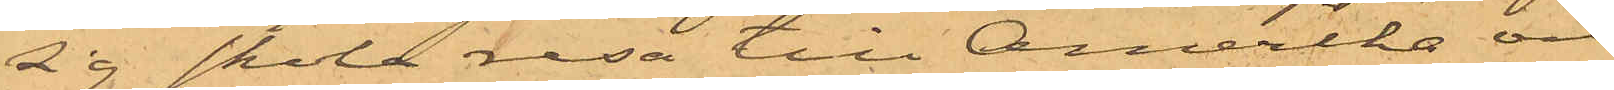sig skola resa till Amerika och
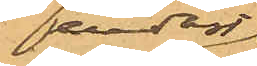endast
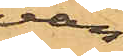vän¬
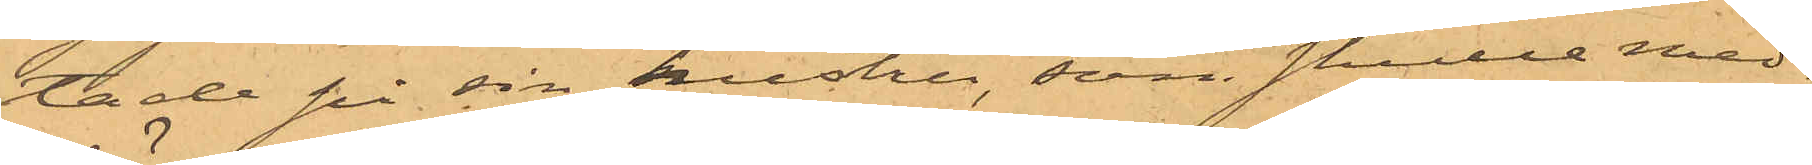tade på sin hustru, som skulle med¬
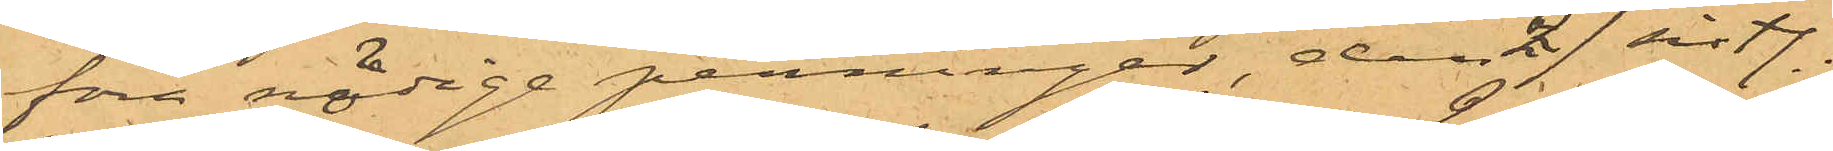föra nödige penningar, den 27 sistl.
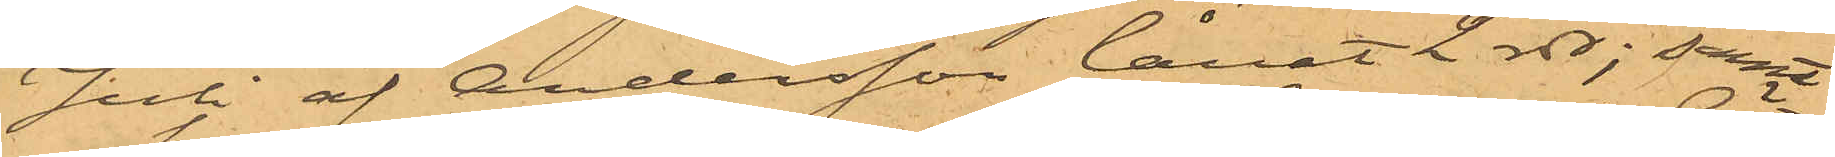Juli af Andersson lånat 2 rdr; samt
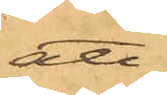att
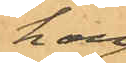han
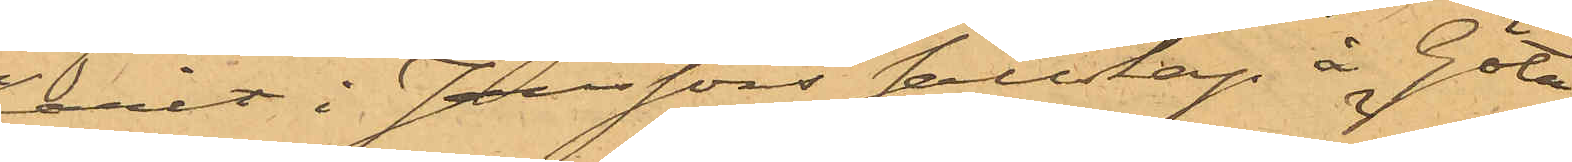varit i Janssons sällskap å Göta
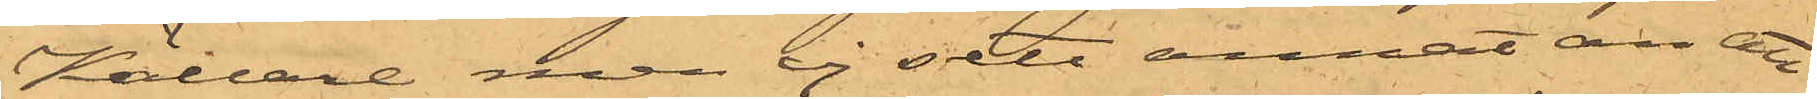Källare, men ej sett annat än att
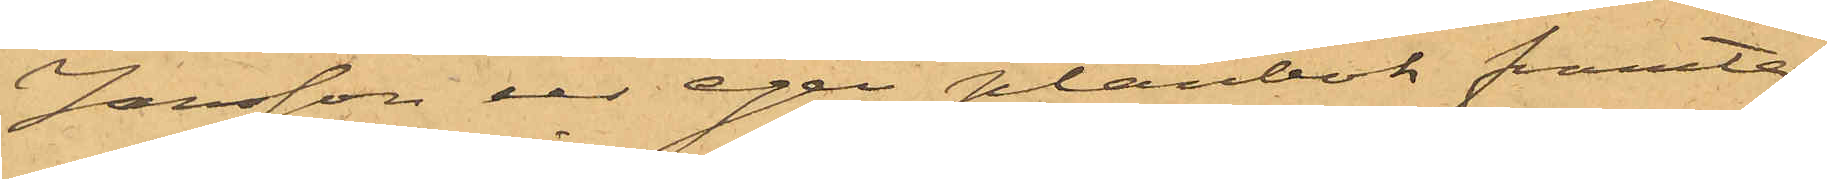Jansson ur egen plånbok framta¬
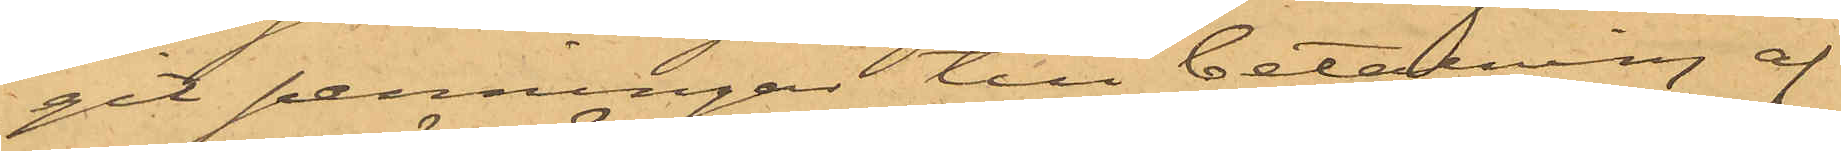git penningar till betalning af
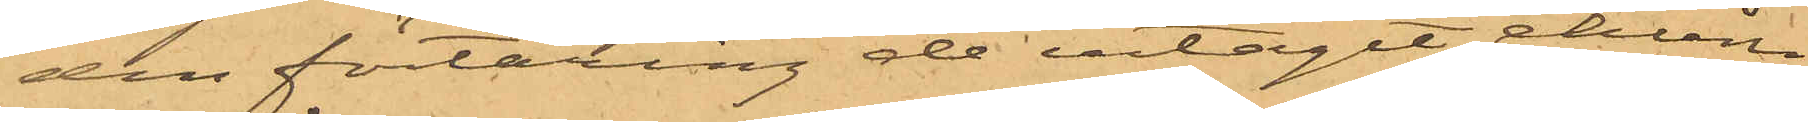den förtäring de intagit, ehuru
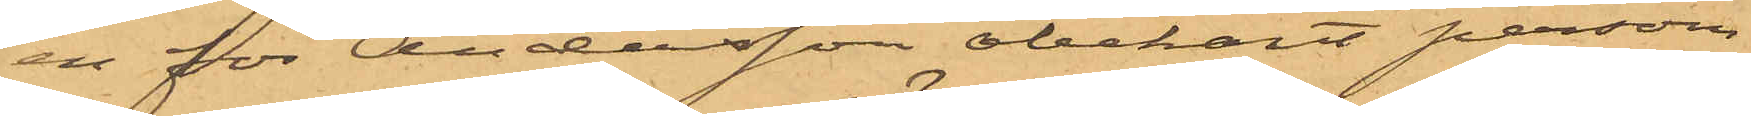en för Andersson obekant person
